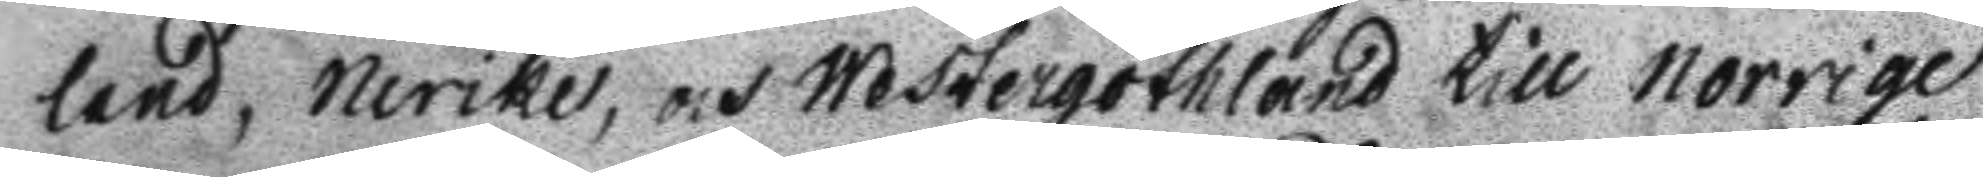land, Nerike, och Westergöthland till norrige
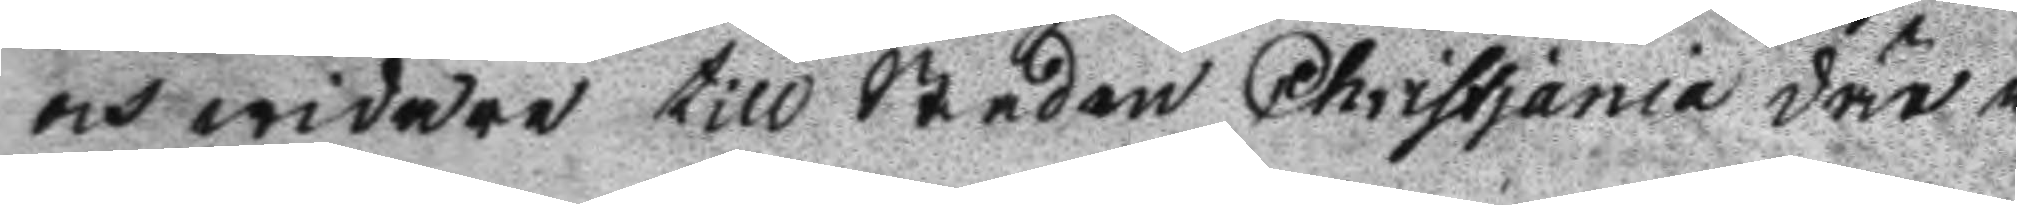och widare till Staden Christjania där i
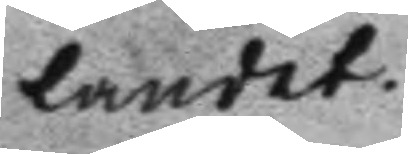landet.
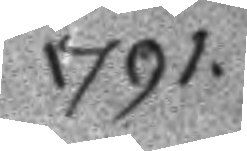1791.
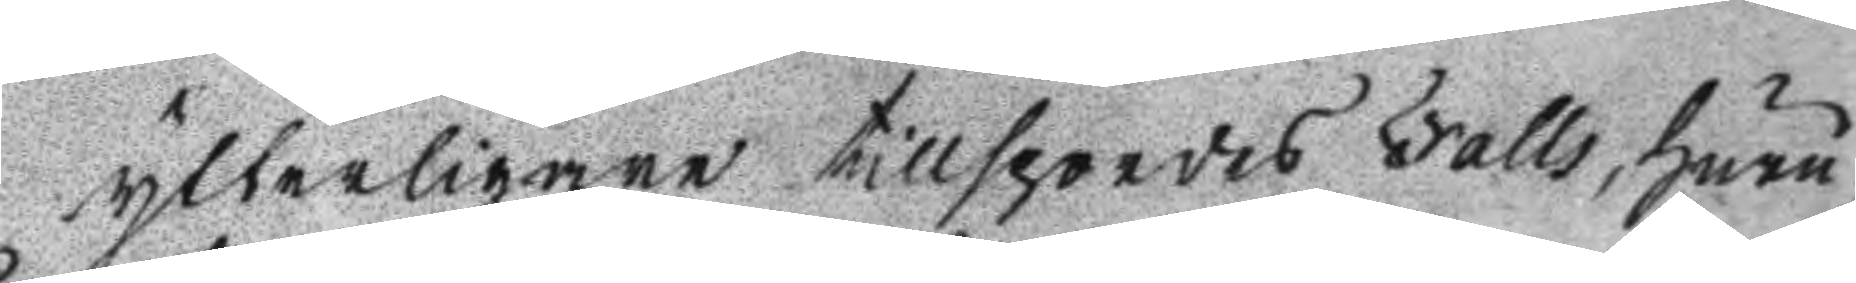ytterligare tillspordes Falls, huru
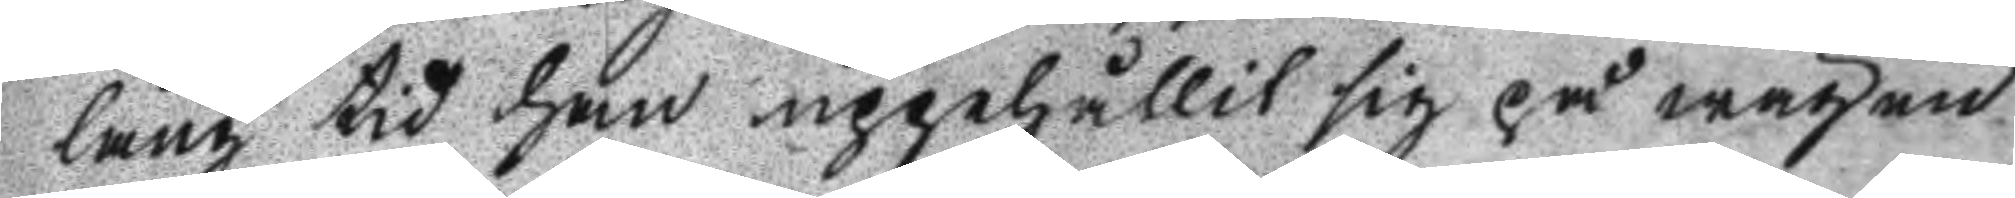lång tid han uppehållit sig på wägen
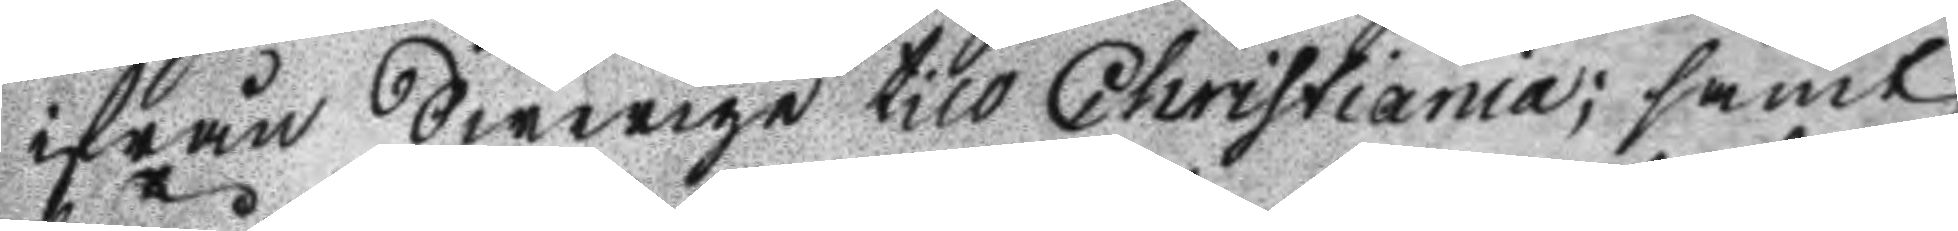ifrån Swerige till Christiania; samt
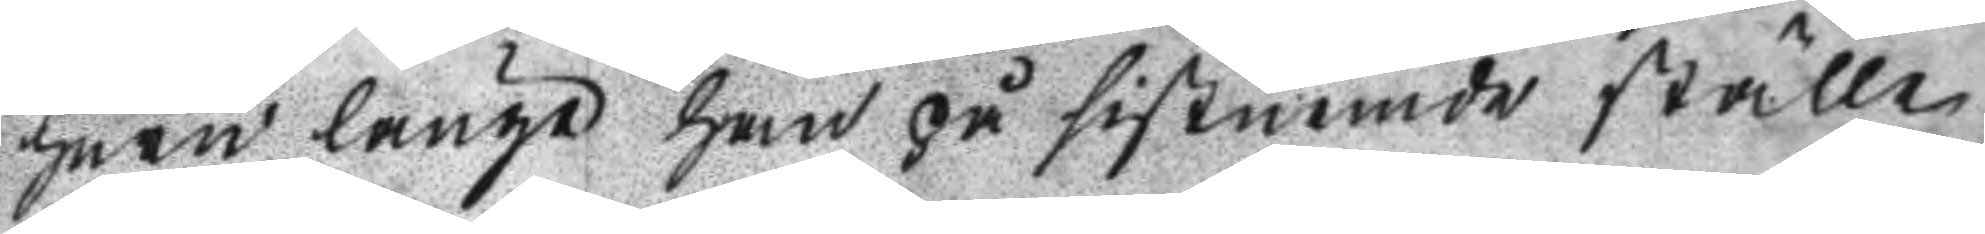huru länge han på sistnemde ställe
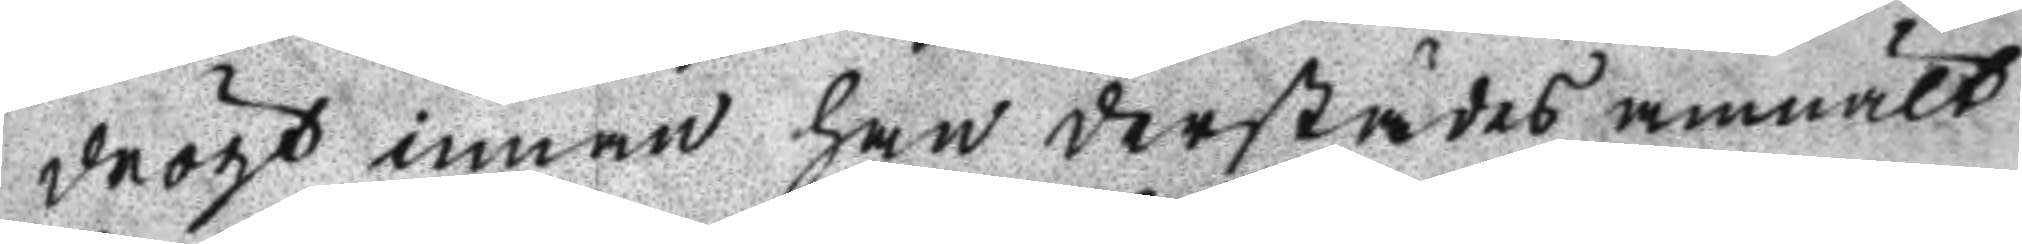drögt innan han derstädes anmält
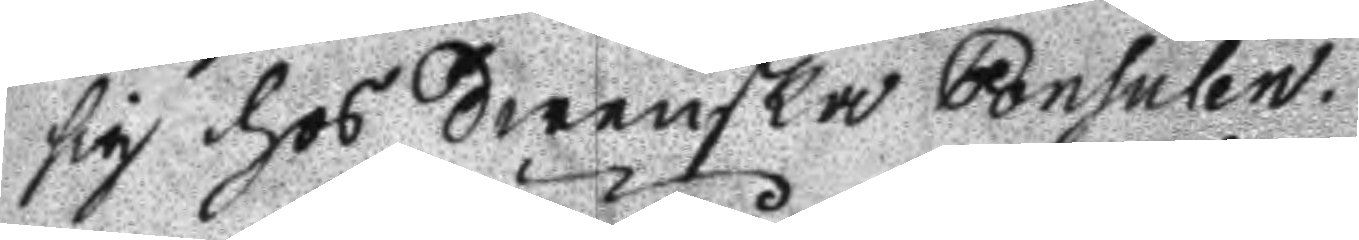sig hos Swenska Consulen.
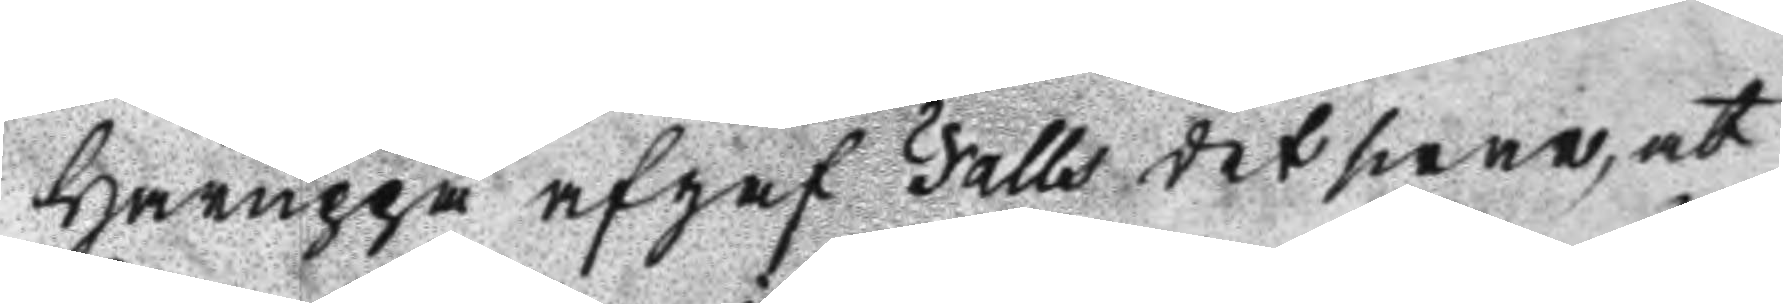Häruppå afgaf Falls det swar, at
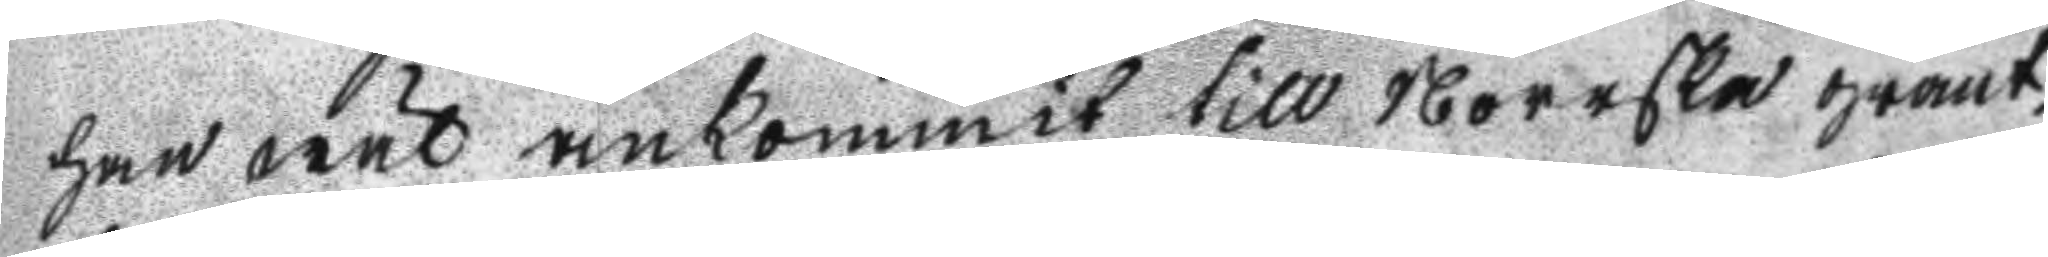han wäl ankommit till Norrska gränt¬
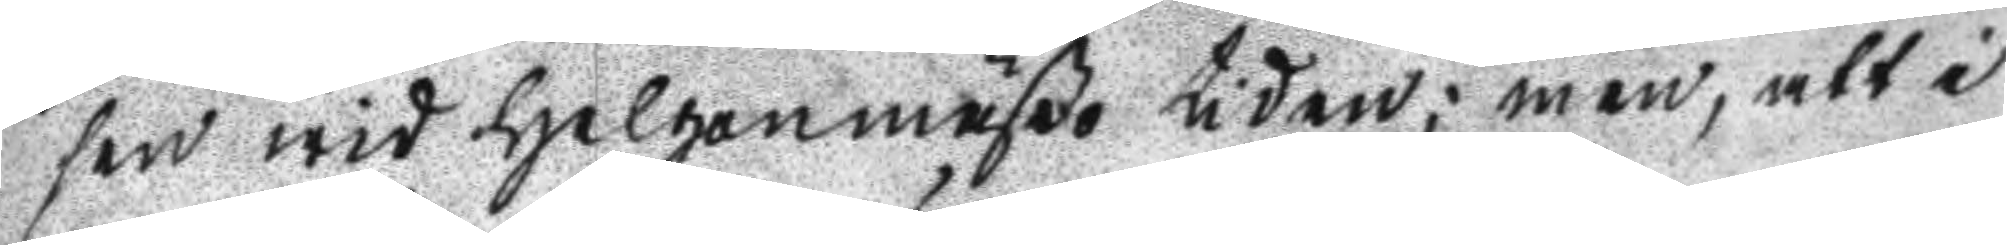sen wid Helgonmäßo tiden; men, att i
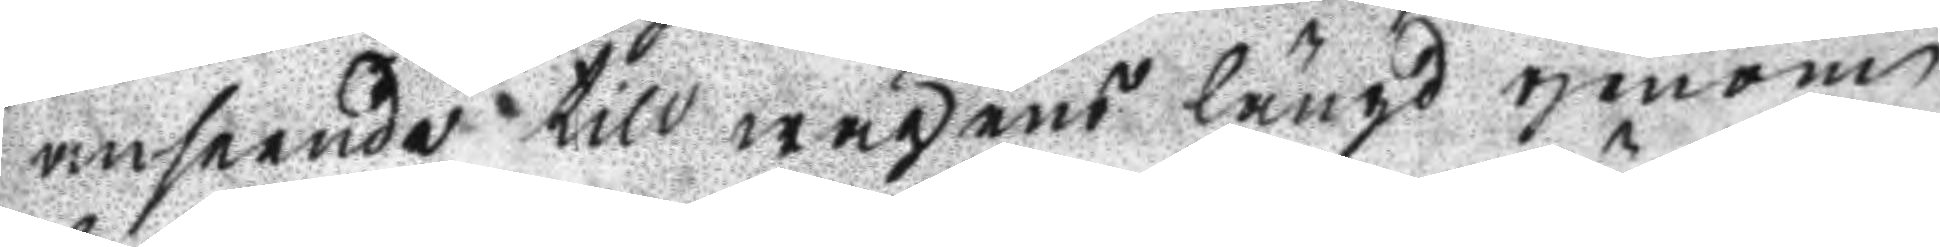anseende till wägens längd genom
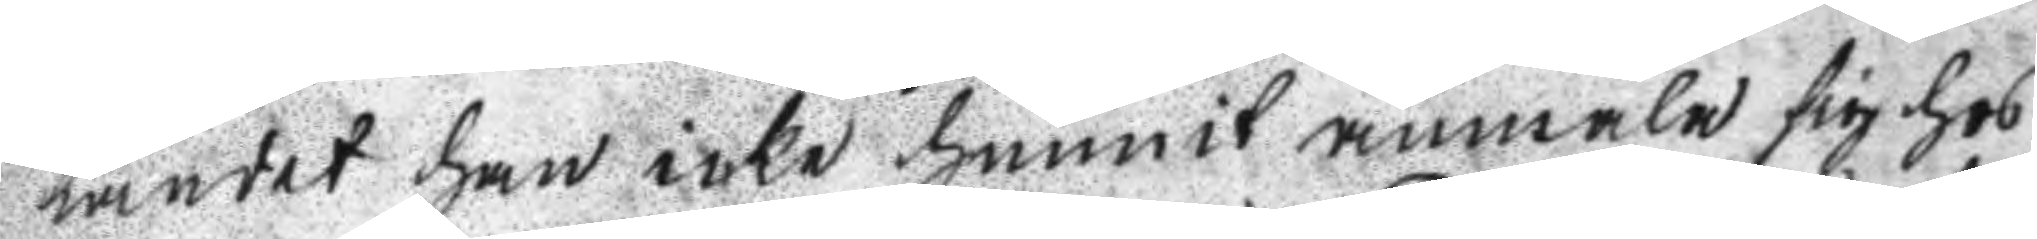landet han icke hunnit anmäla sig hos
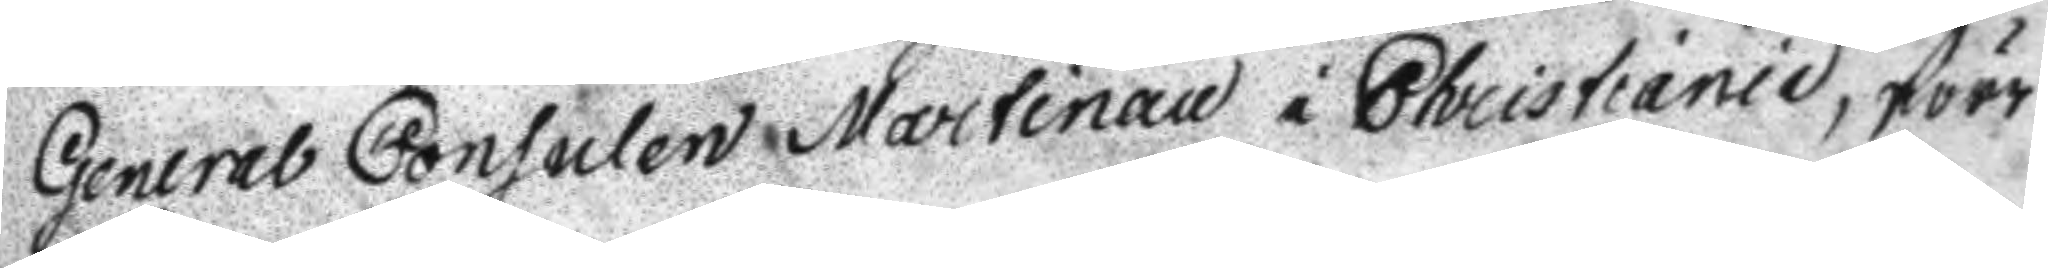General Consulen Martinau i Christiania, förr
